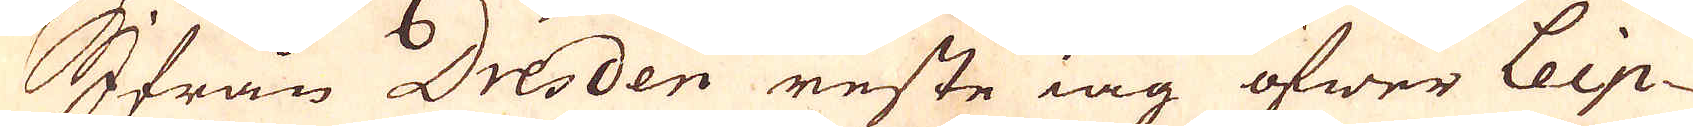Ifrån Dresden reste iag öfwer Leip-
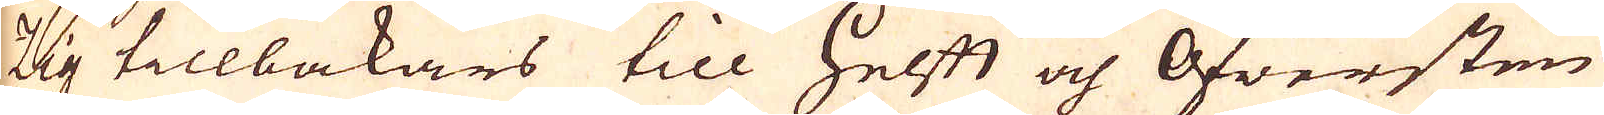zig tillbakars till Helft och Öfwersten
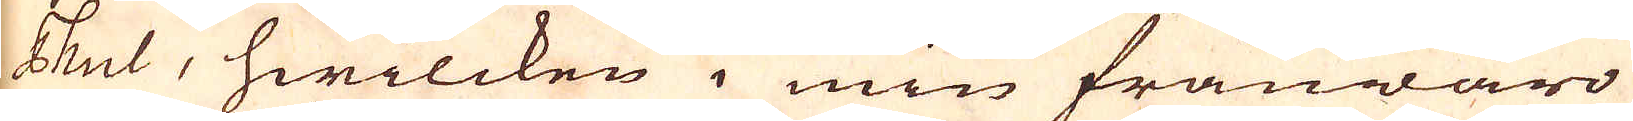Thul, hwilcken i min frånwaro
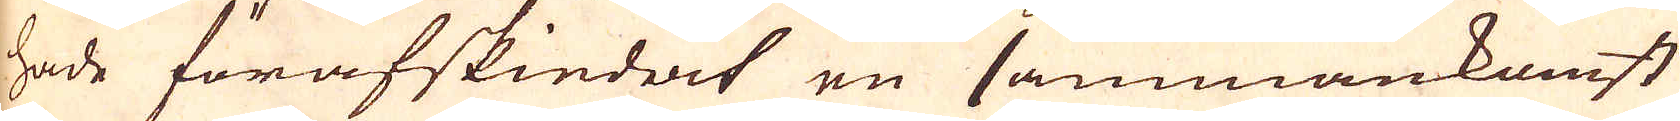hade förafskiedat en sammankomst
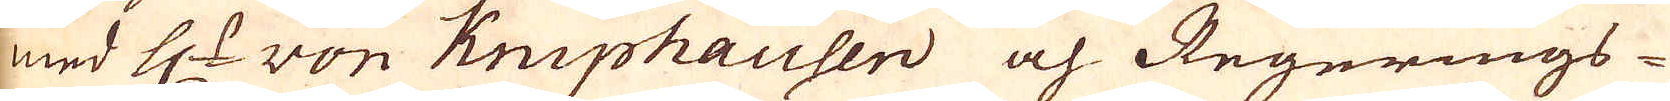med H:r von Kniphausen och Regerings-
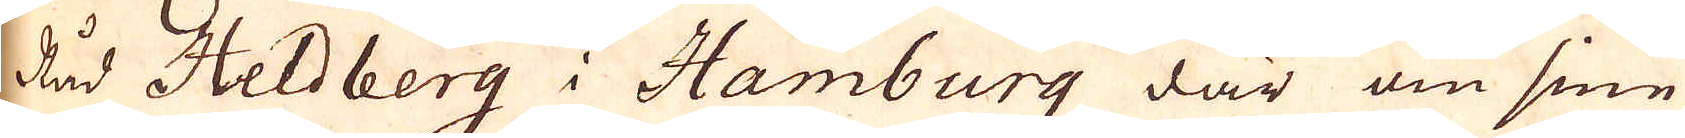Råd Heldberg i Hamburg där om sine
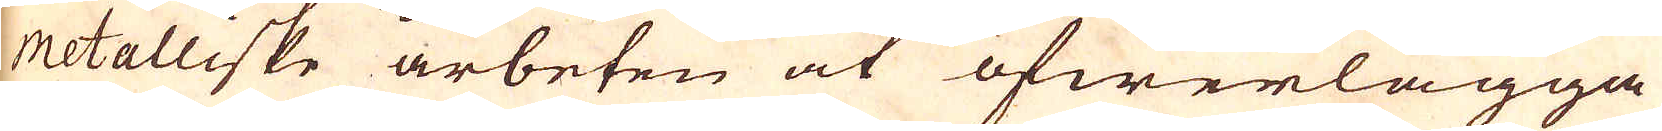metalliske arbeten at öfwerlägga
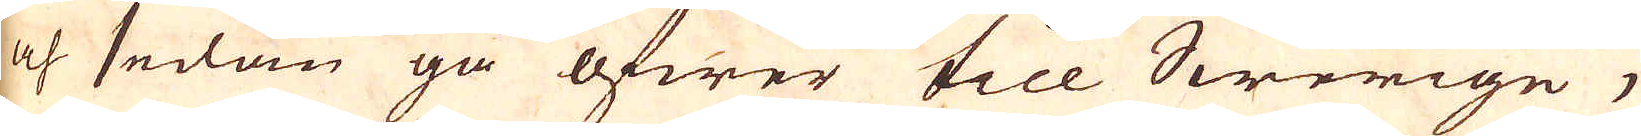och sedan gå öfwer till Swerige,
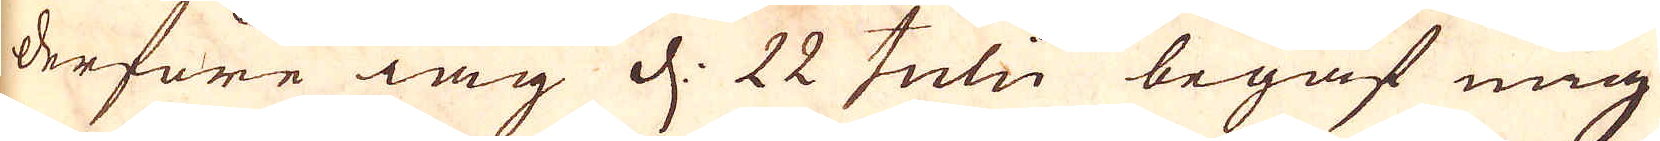derföre iag d: 22 Julii begaf mig
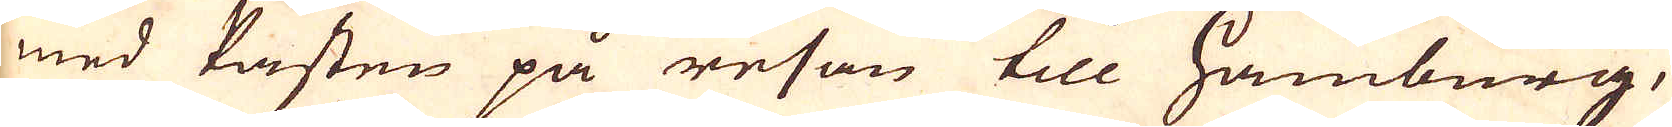med Påsten på resan till Hamburg,
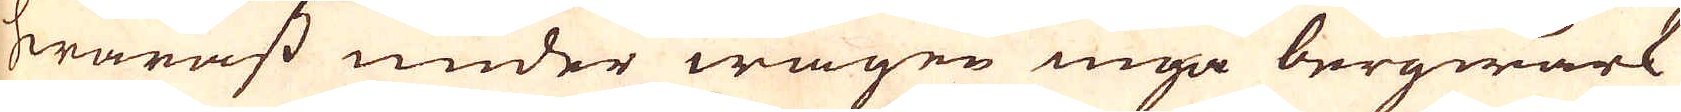hwarest under wägen inga bergwärk
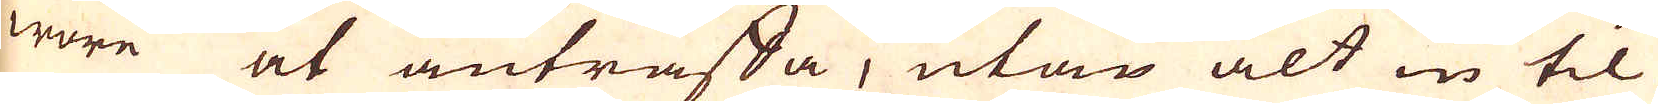wore at anträffa, utan alt in til
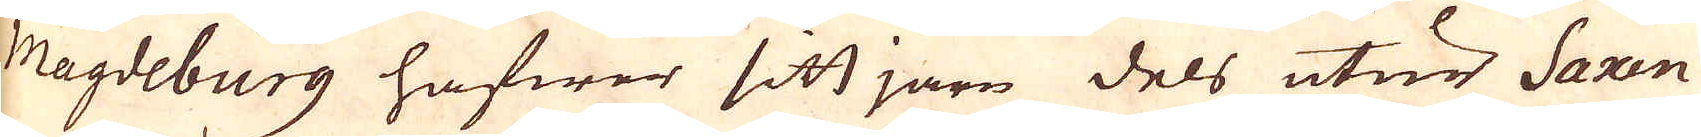Magdeburg hafwer sitt järn dels utur Saxen
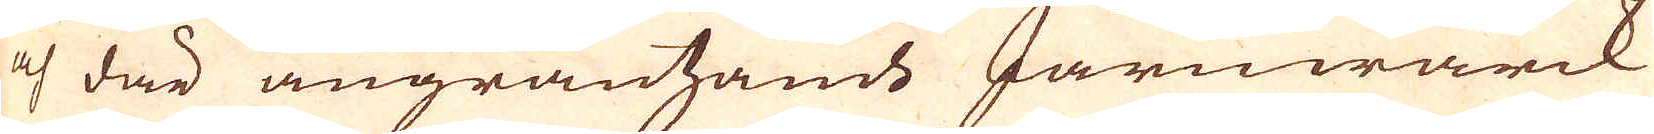och där angräntzande Järnwärck
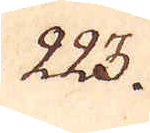223.
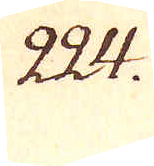224.
